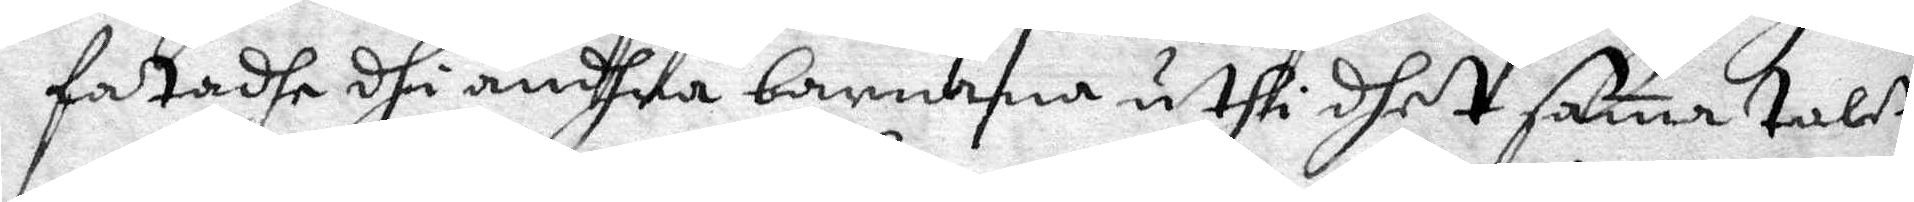fatadhe dhi andhra barnana uthi dhet sam talet
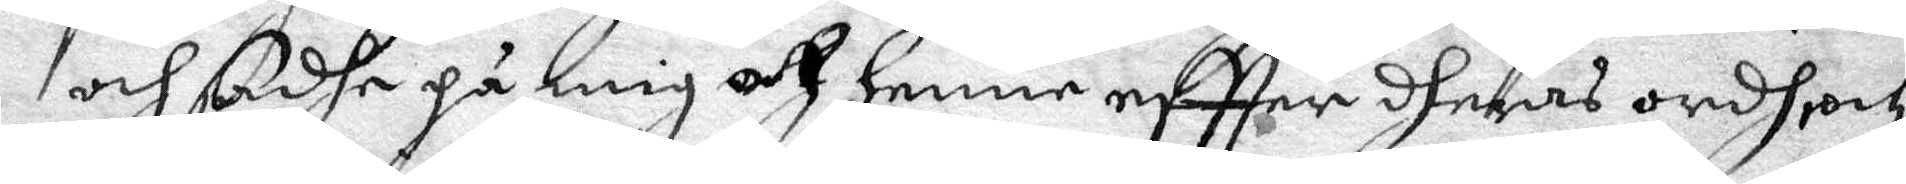och sadhe på mig at henne eftter dheras ordh och
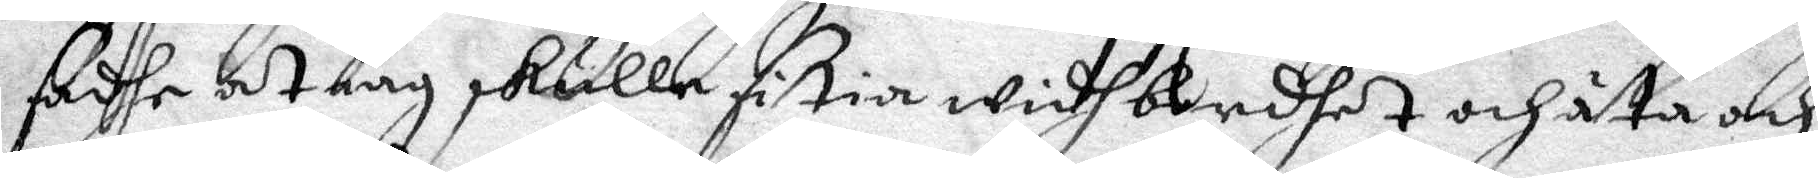sadhe at iag skulle sitia widh bordhet och äta och
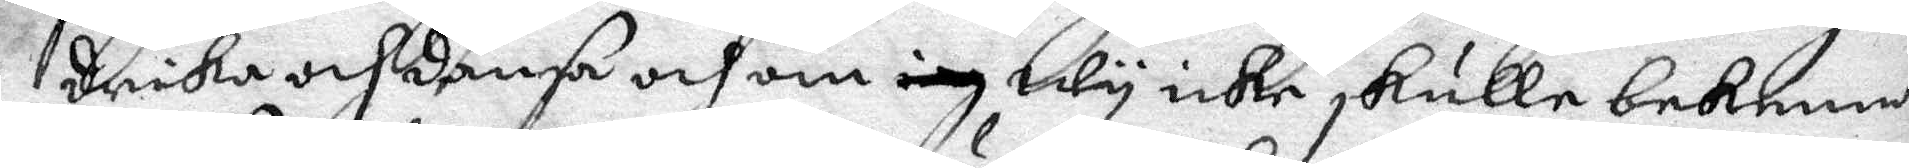drika och dansa och om iag wy icke skulle bekenna
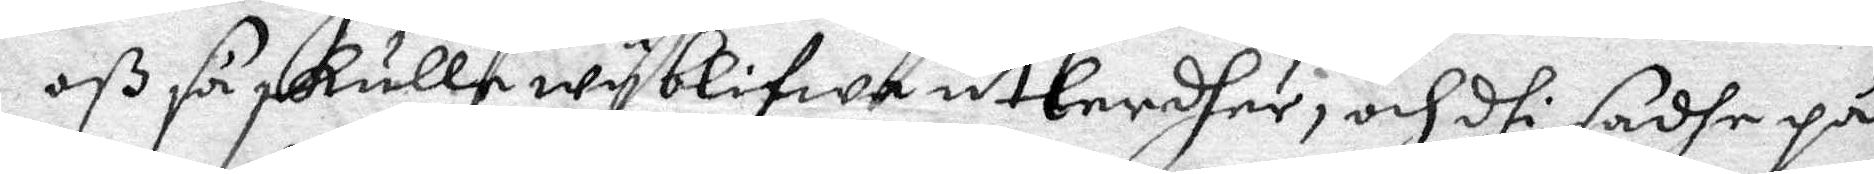oß så skulle wy blifwa utlerdher, och dhi sadhe på
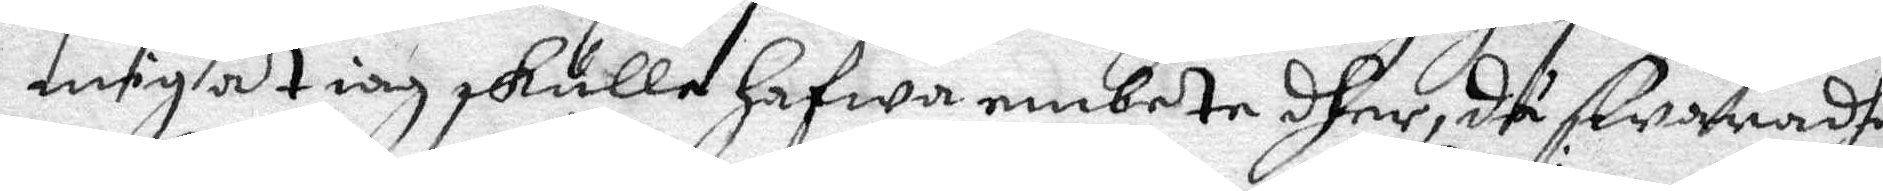mig at iag skulle hafwa embete dher, då swaradhe
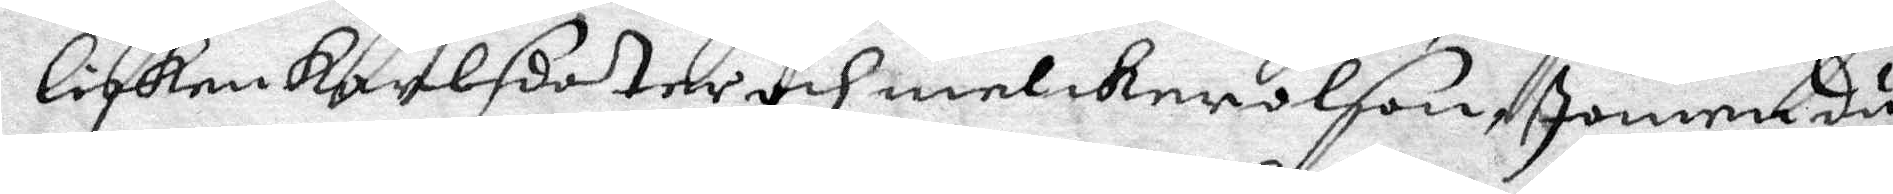lisken karlsdoter och melker olson Jomen du
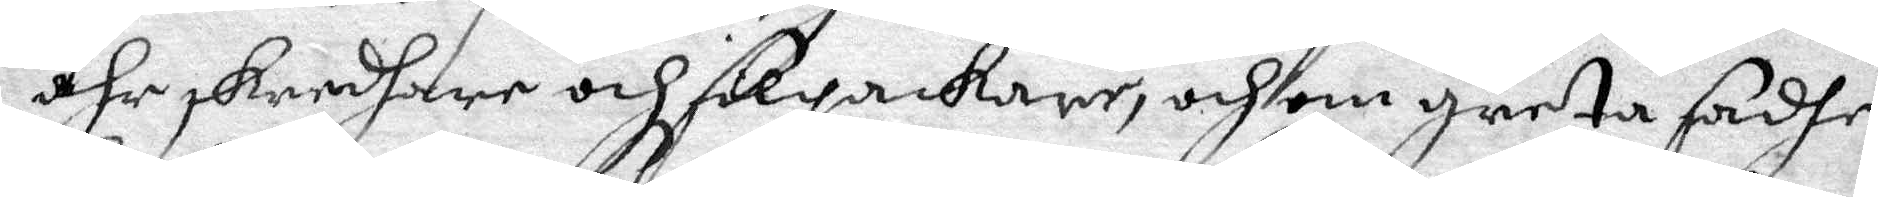ähr skredhare och solgakare, och om greta sadhe
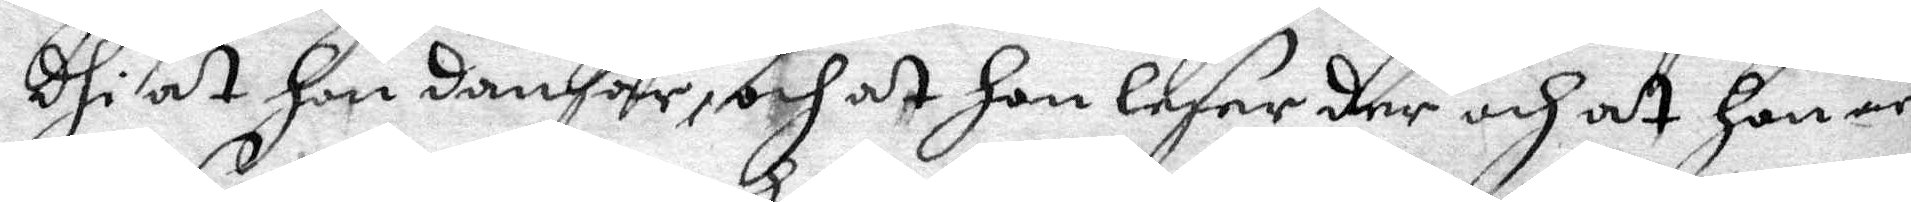dhi at hon dansar, och at hon leser der och at hon är
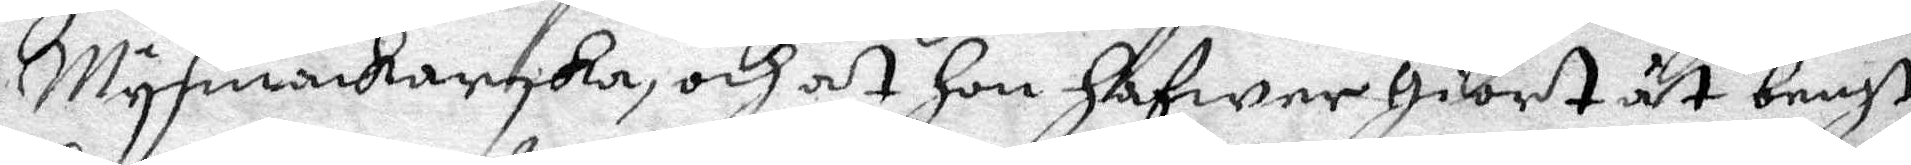Mysmakarska, och at hon hafwer giort åt bengt
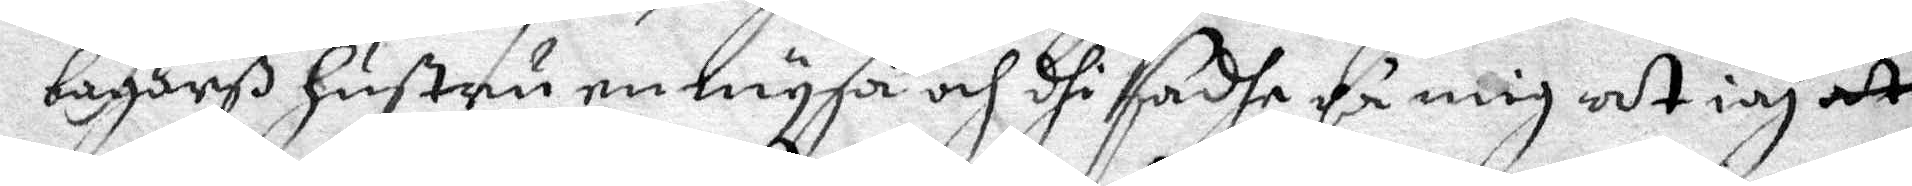bagares hustru en mysa och dhi sadhe på mig at iag at
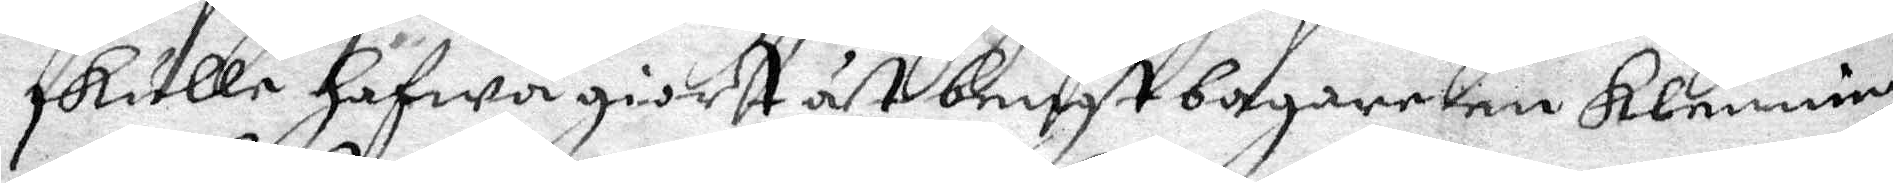skulle hafwa giort åt bengt bagare en klenning
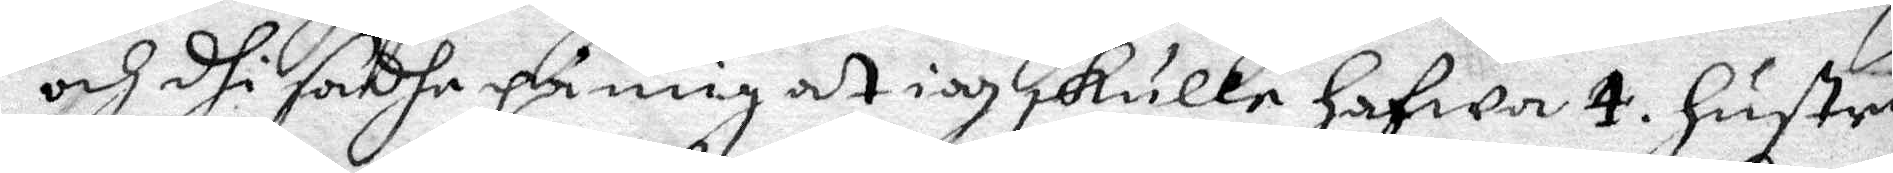och di sadhe på mig at iag skulle hafwa 4. hustrur
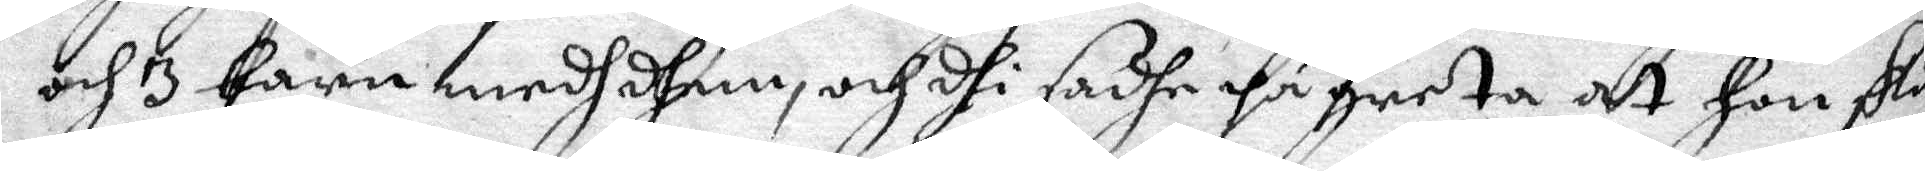och 3 barn medh dhem, och dhi sadhe på greta at hon sku¬
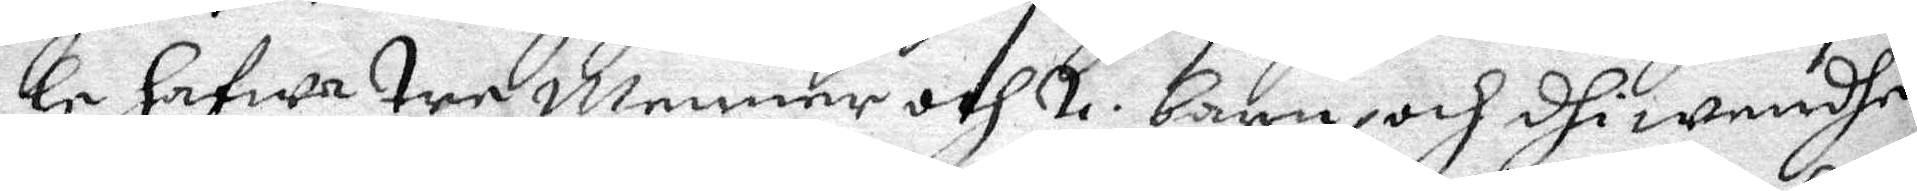le hafwa tre menner och 2. barn och dhi wendhe
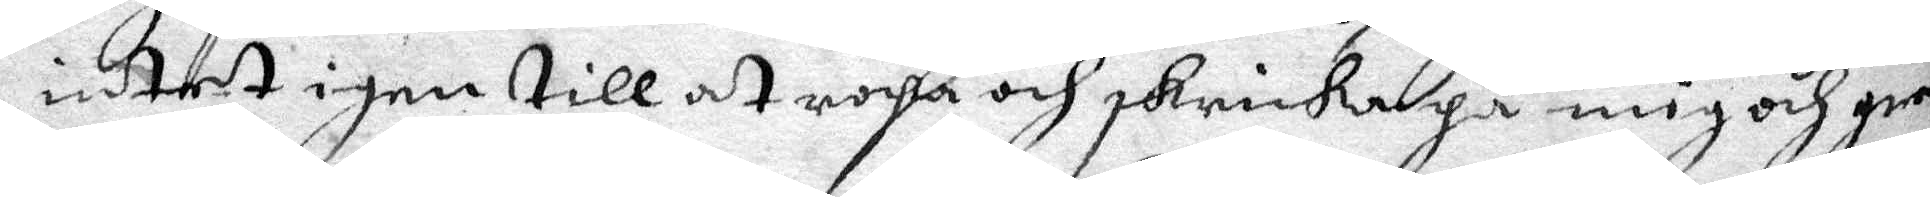intet igen till at ropa och skrika på mig och gre¬
